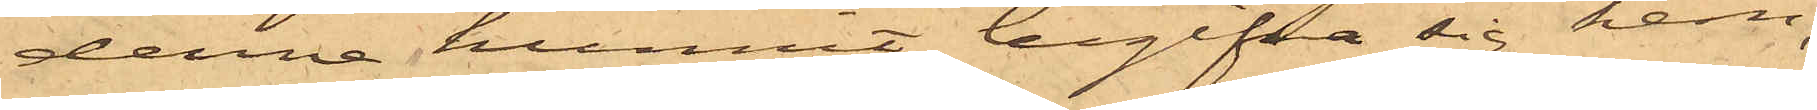denne hunnit begifva sig hem,
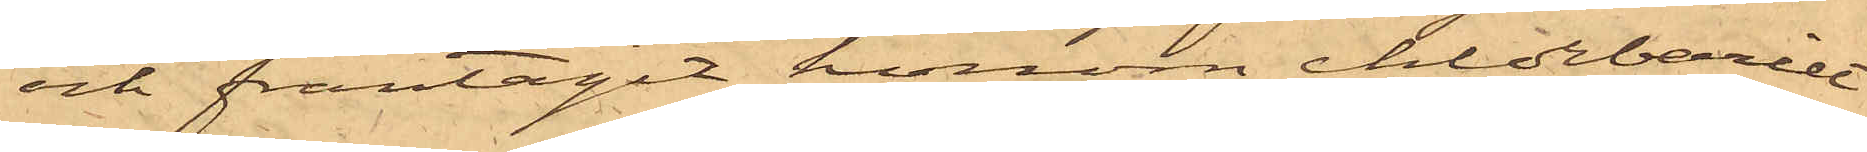och fråntagit honom chlorbariet
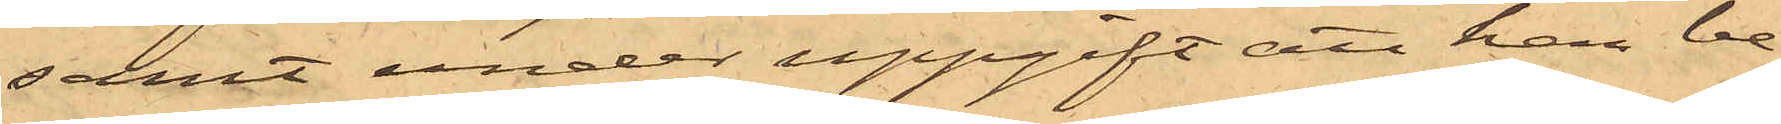samt under uppgift att han be¬
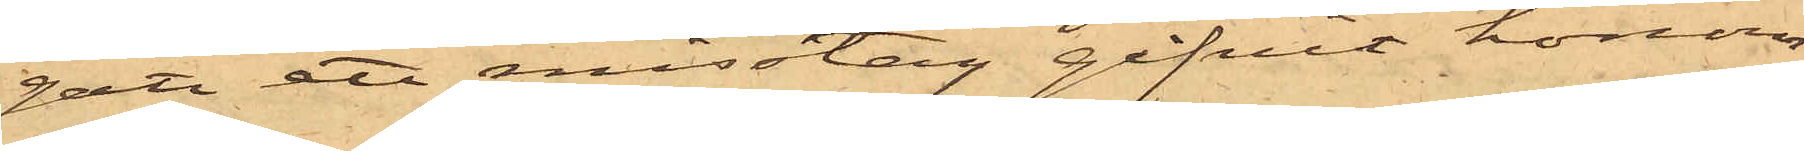gått ett misstag gifvit honom
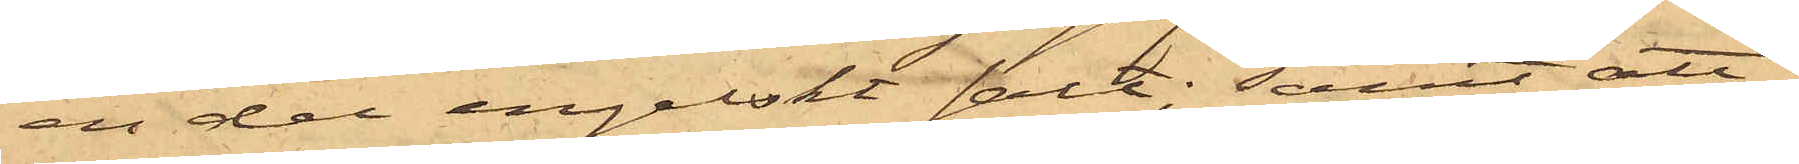en del engelskt salt; samt att
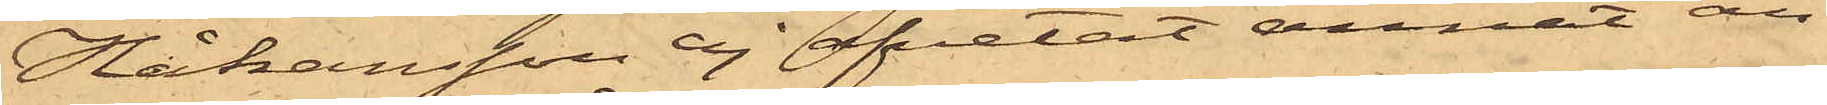Håkansson ej afvetat annat än
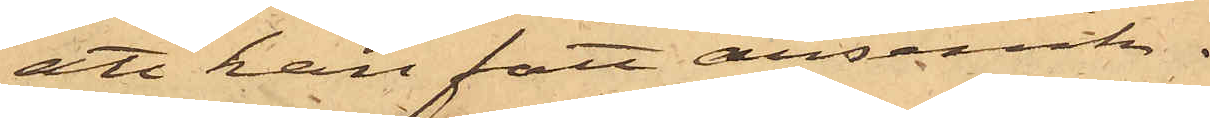att han fått arsenik.
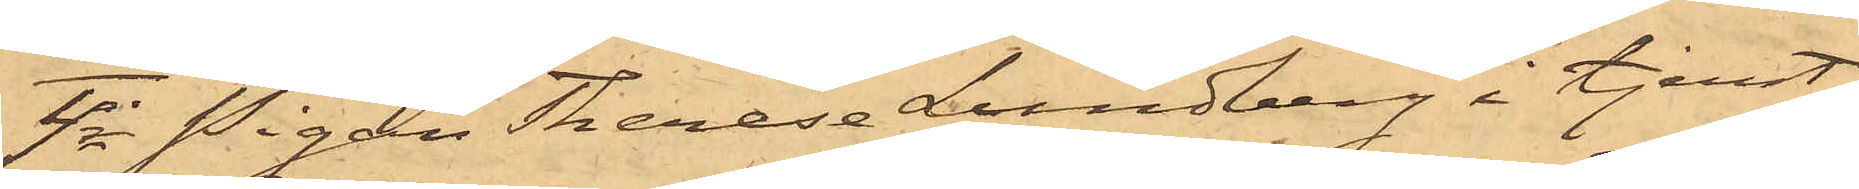4o Pigan Therese Lundberg i tjenst
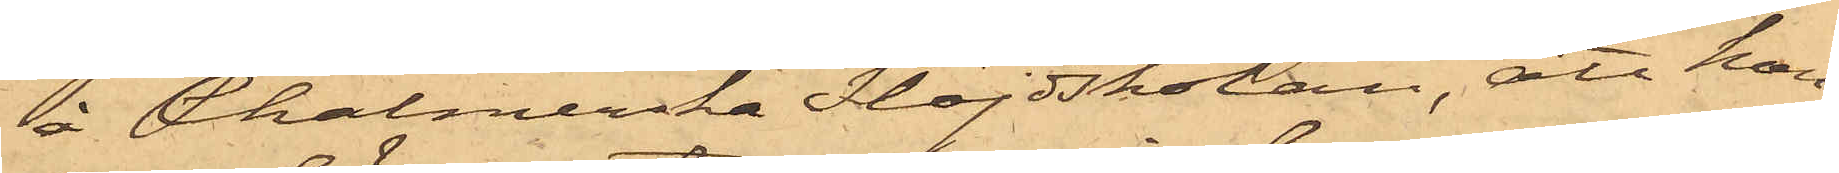å Chalmerska Slöjdskolan, att hon,
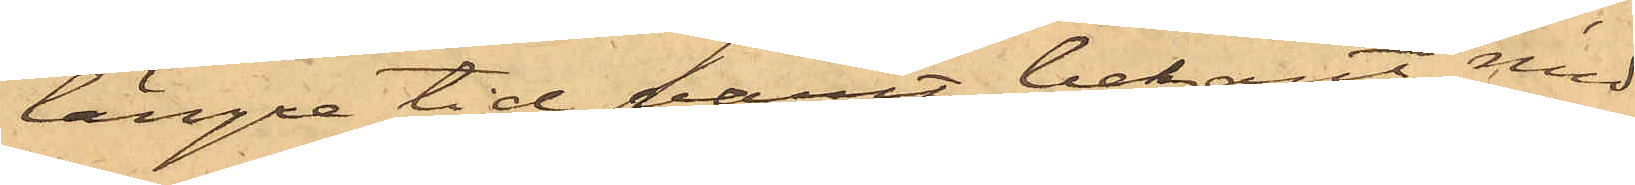en längre tid varit bekant med
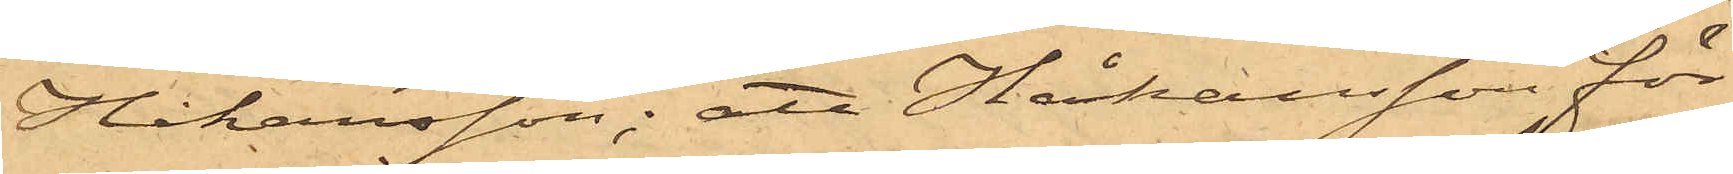Håkansson; att Håkansson för
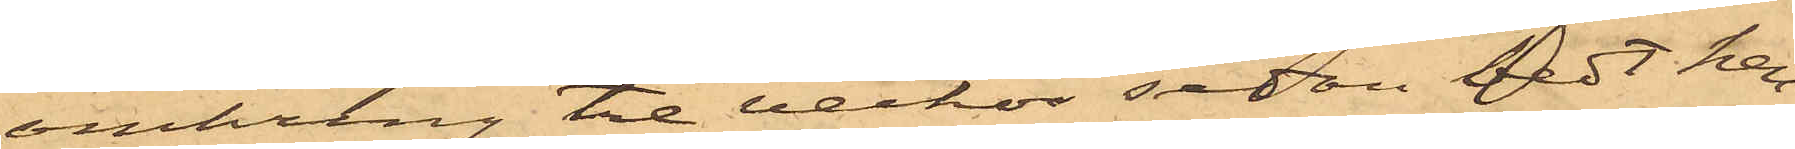omkring tre veckor sedan bedt hen¬
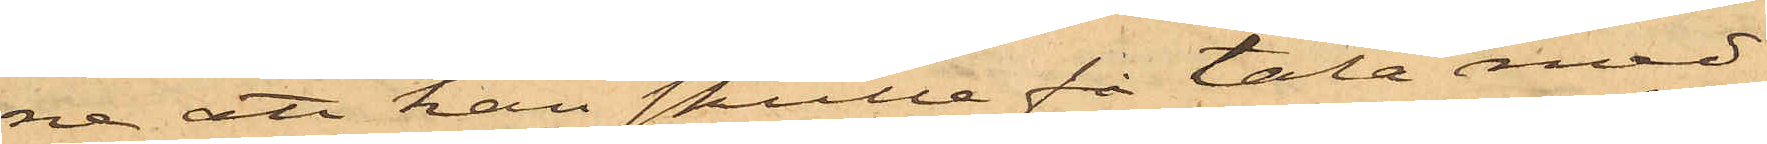ne att han skulle få tala med
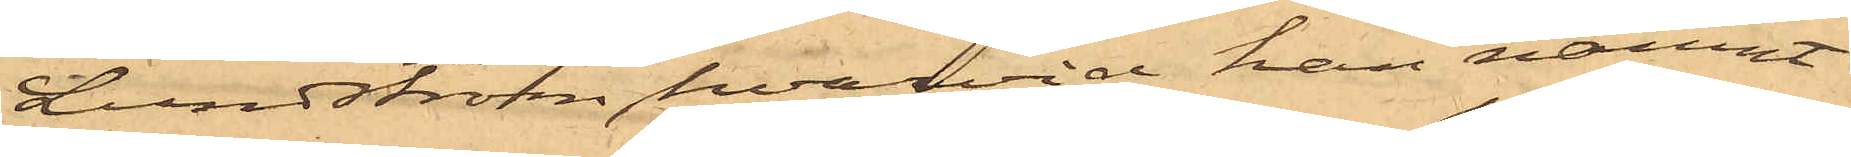Lundström, hvarvid han nämnt
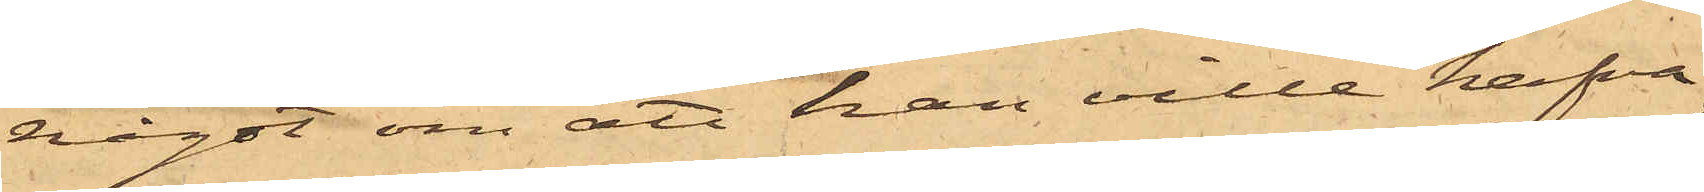något om att han ville hafva
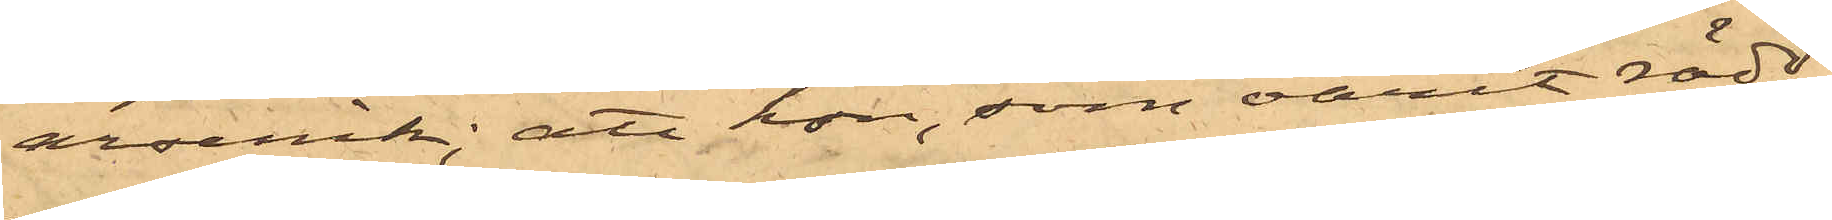arsenik; att hon, som varit rädd
